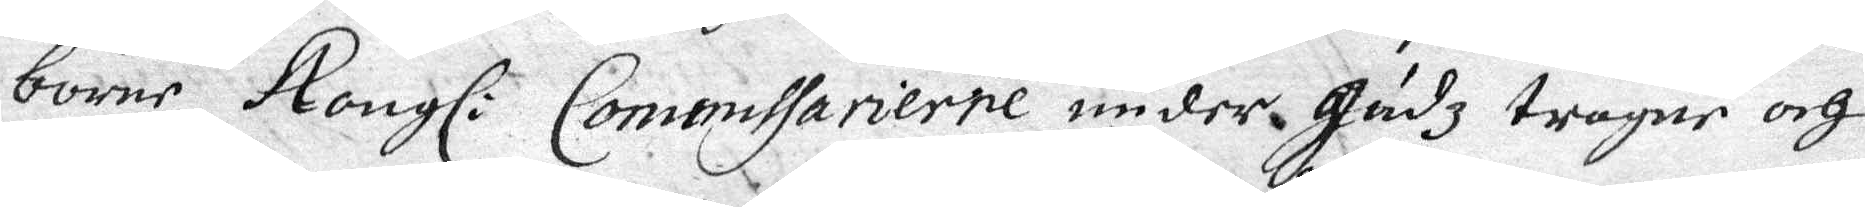borne Kongl: Commissarierne under Gudz trogne och
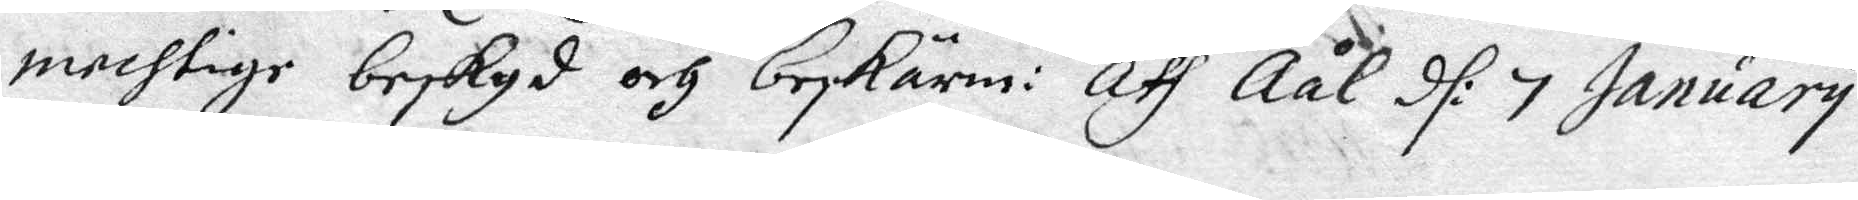mechtige beskyd och beskärm: Aff Åål d: 7 January
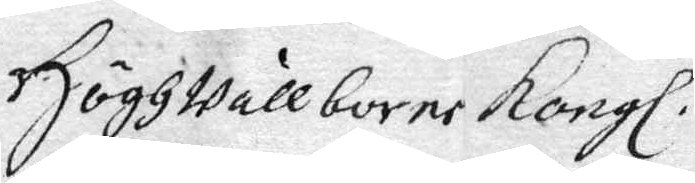Högwällborne Kongl
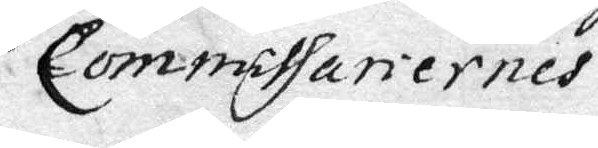Commissariernes
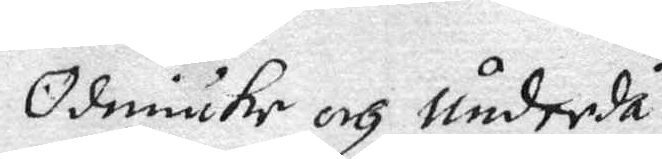Ödmiuke och underdå¬
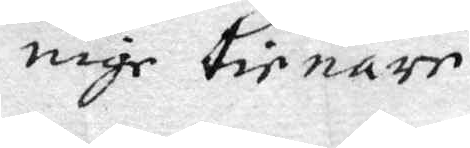nige tienare
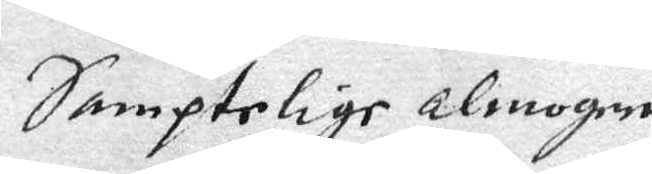Samptelige almogen
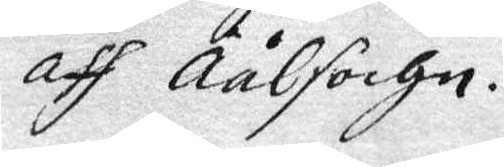aff Åål Sochm.
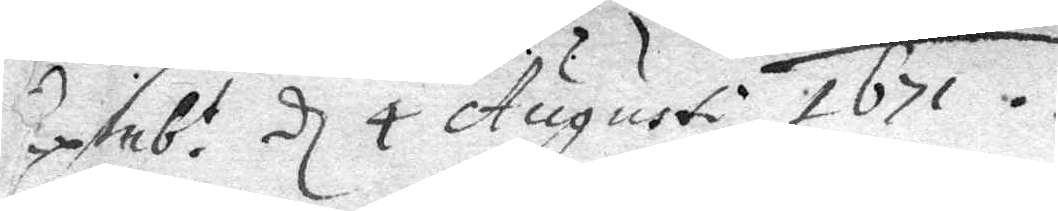Exsnb:t d 4 Augusti 1671
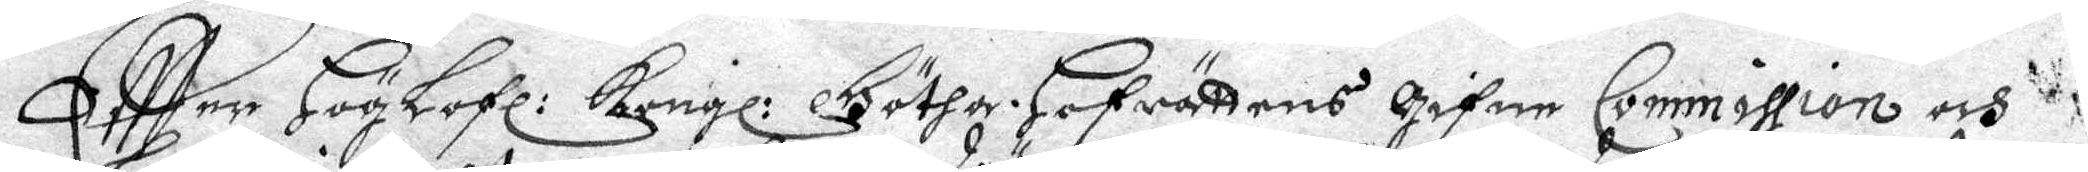Eftter Höglofl: Kongl: Götha. Hofrättens Gignw Commission och
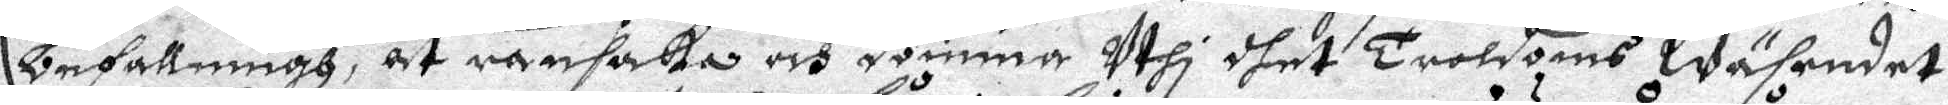Befattning, at ransaka och dömma uthi dhet troldoms wäsendet
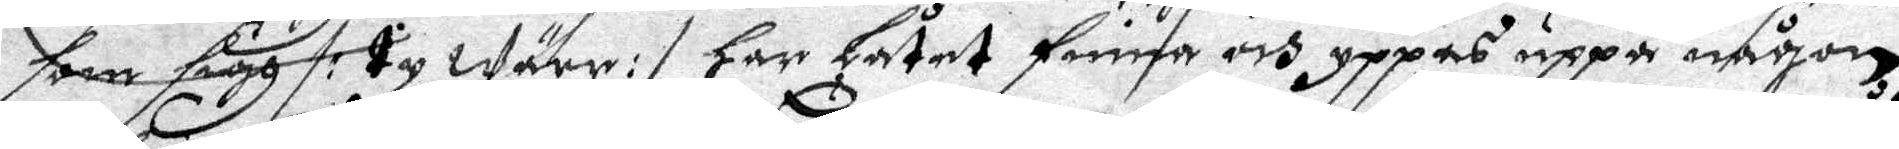som sigh /: ty wäre :/ har Låtit finna och yppas uppå någon
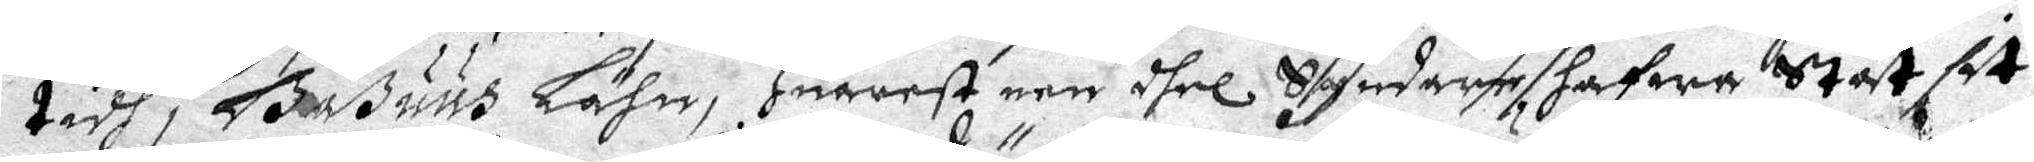tih i Boßuus Lähn, Huarest een dhel Syndare Hafwa står sit
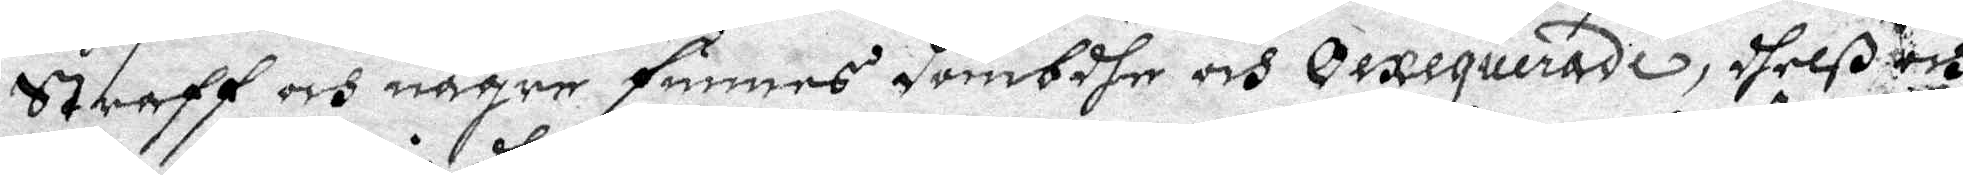straff och någre finnes dömbdhe och Oexequerade, delß och
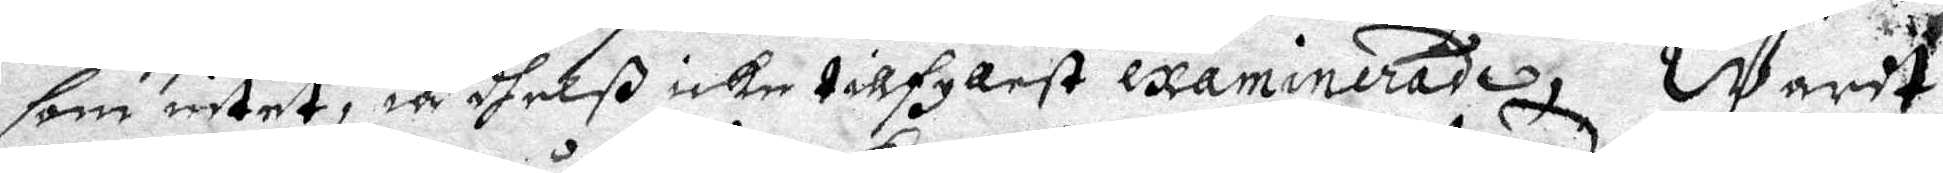som intet, ia dhelß icke tillfyllest examinerade, Warit
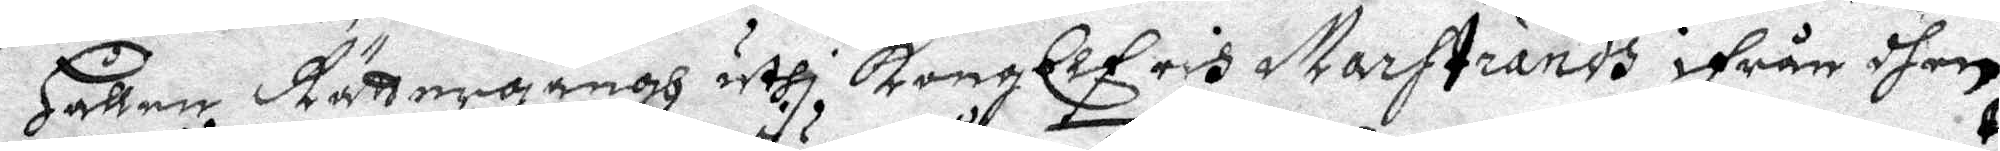Hållne Rättegångh uthi Kongl Elfris Marstrands ifrån dhen
